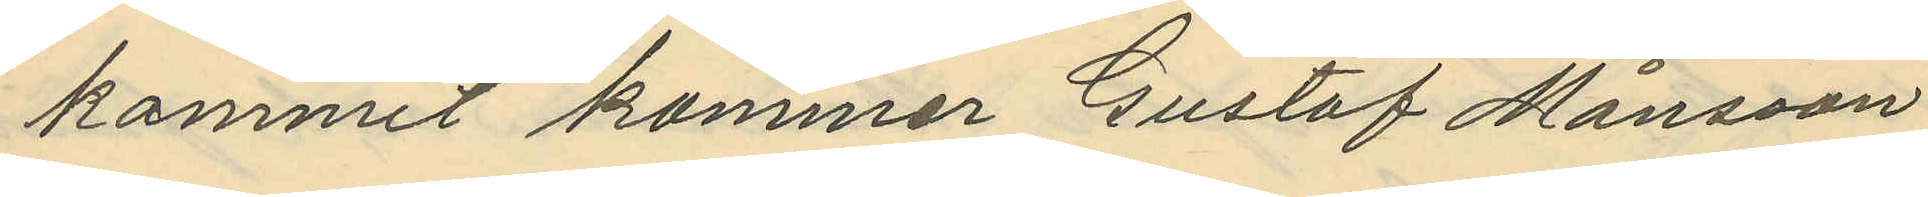kommit kommer Gustaf Månsson
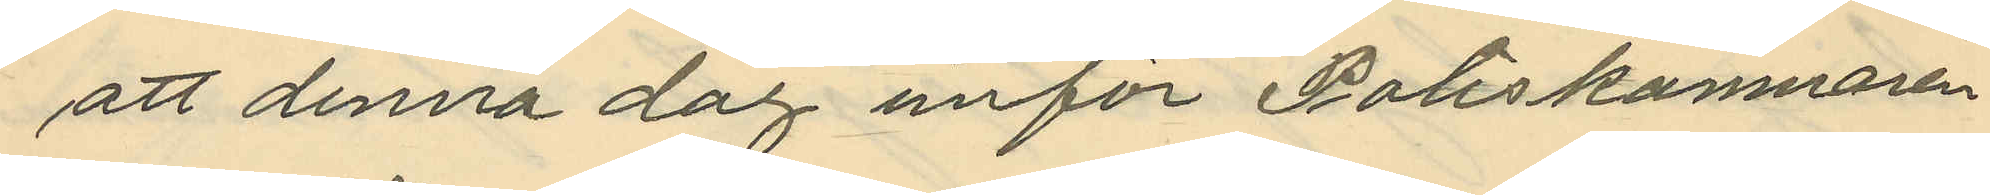att denna dag inför Poliskamnaren
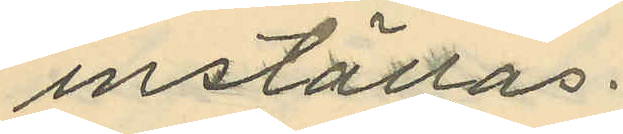inställas.
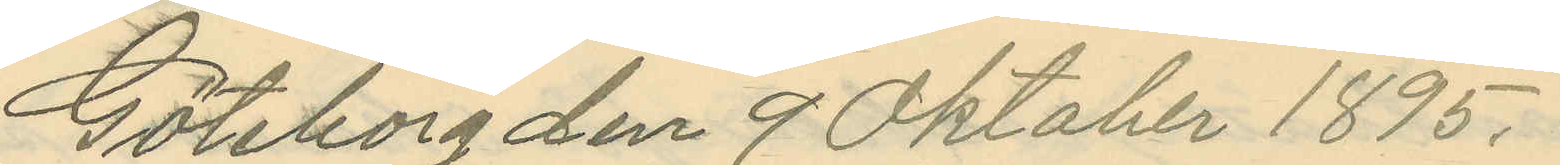Göteborg den 9 Oktober 1895.
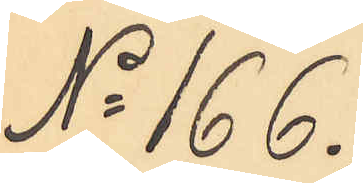No 166.
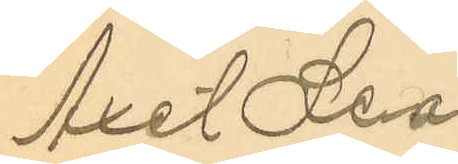Axel Leo¬
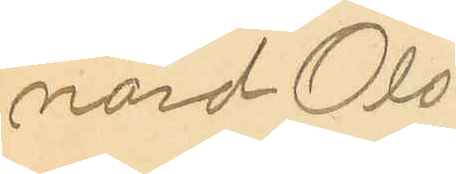nard Ols¬
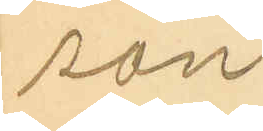son
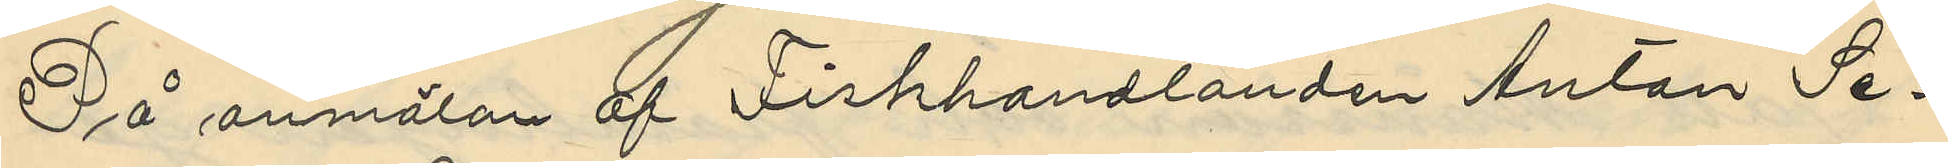På anmälan af Fiskhandlanden Anton Se¬
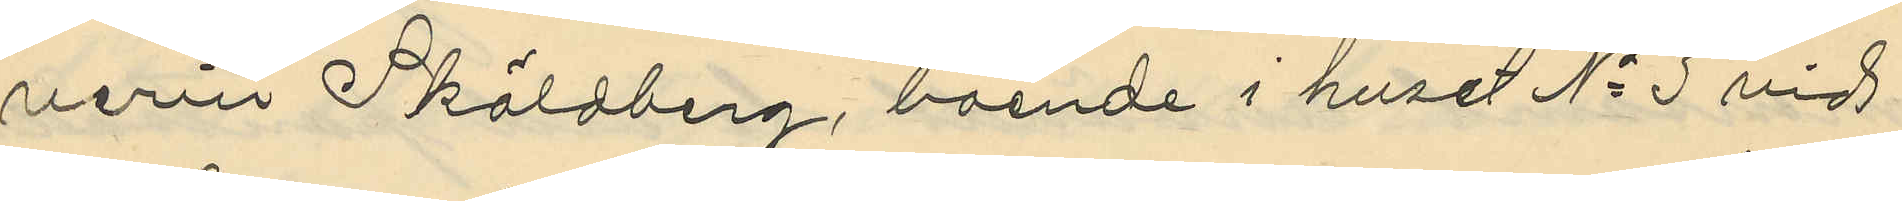verin Sköldberg, boende i huset No 3 vid
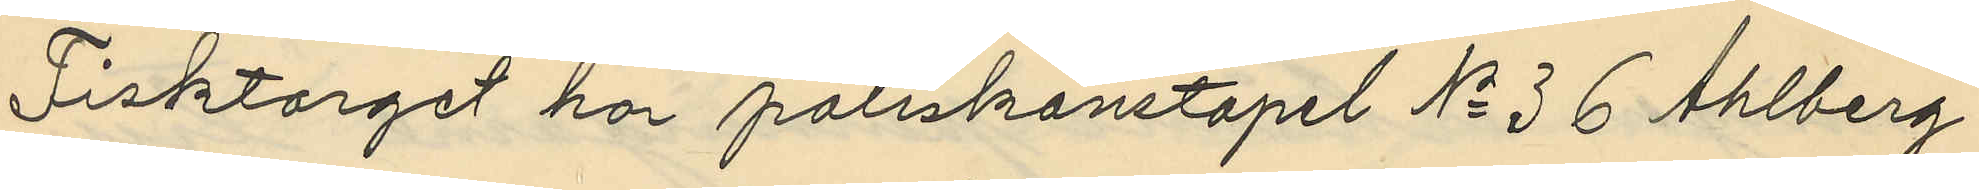Fisktorget har poliskonstapel No 36 Ahlberg
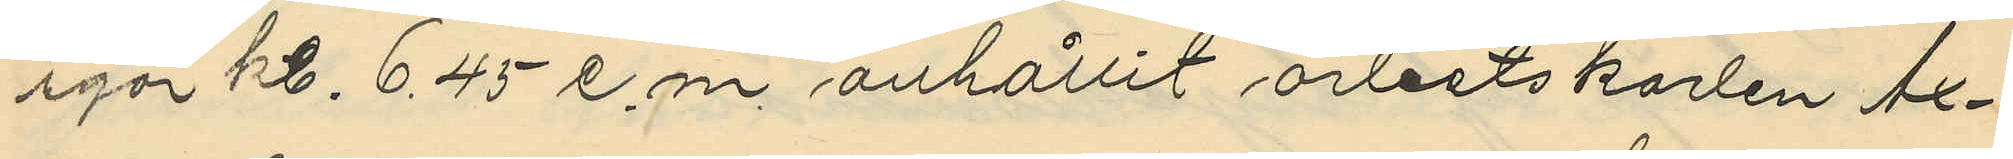igår kl. 6,45 e.m. anhållit arbetskarlen Ax¬
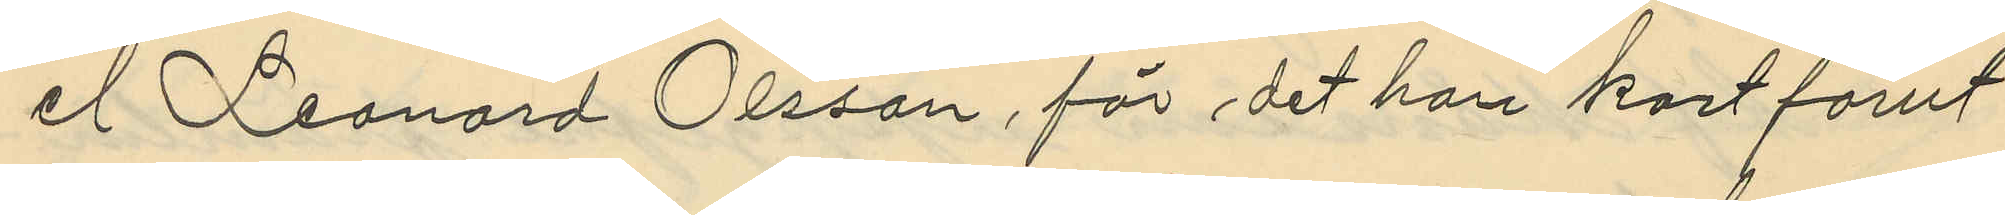el Leonard Olsson, för det han kort förut
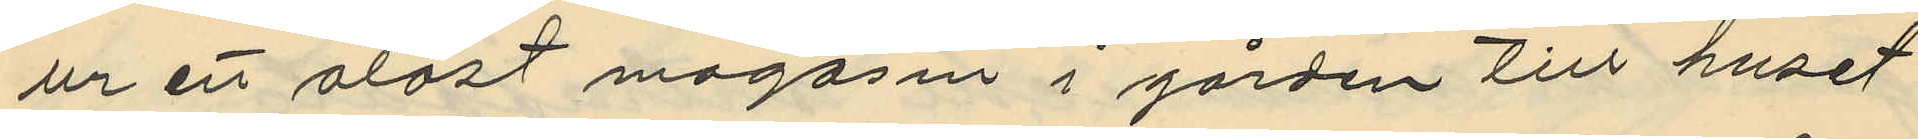ur ett olåst magasin i gården till huset
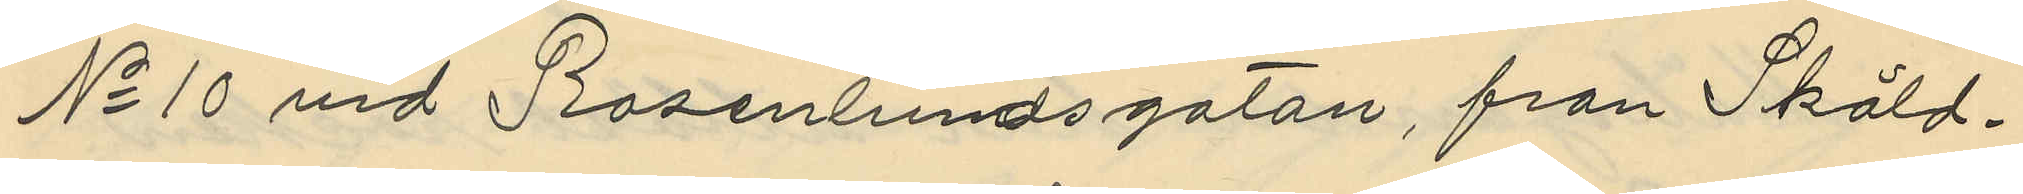No 10 vid Rosenlundsgatan, från Sköld¬
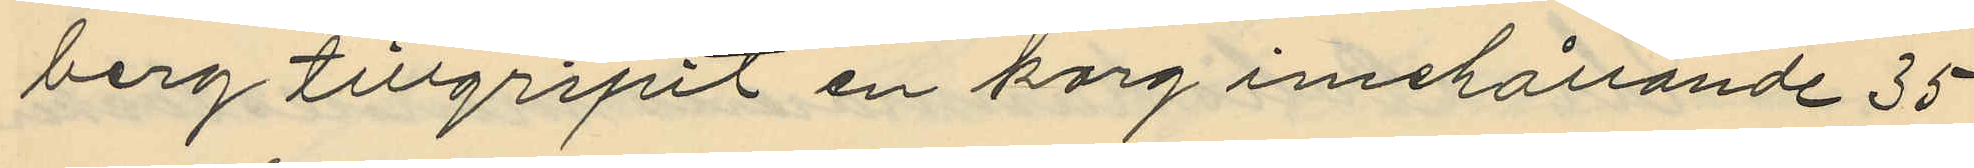berg tillgripit en korg inehållande 35
